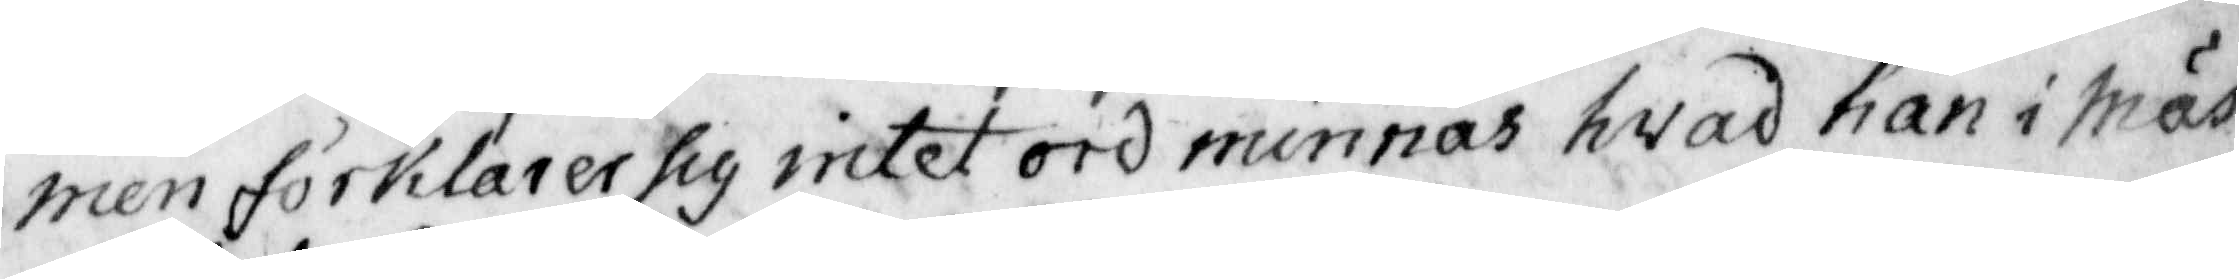men förklarer sig intet ord minnas hvad han i Mäs¬
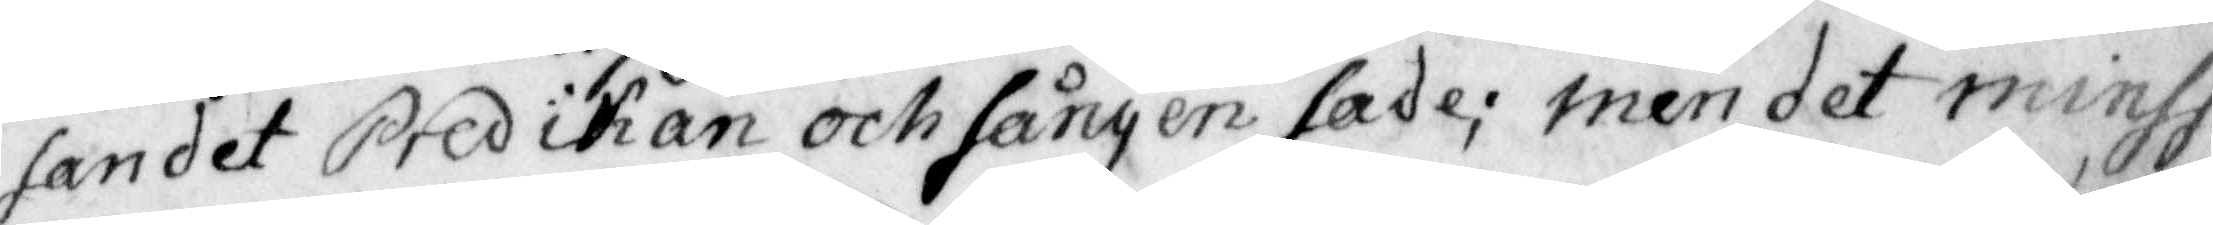sandet predikan och sången sade; men det minss
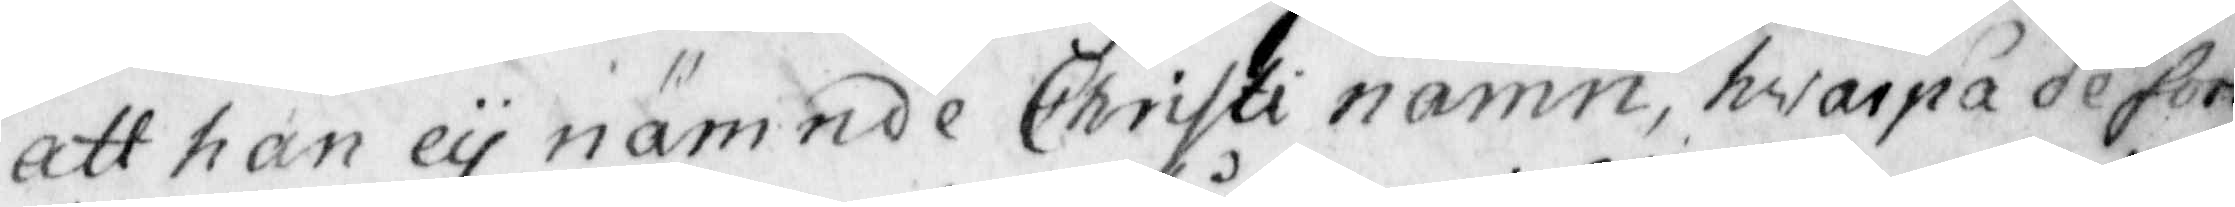att han ey nämnde Christi namn, hvarpå de foro
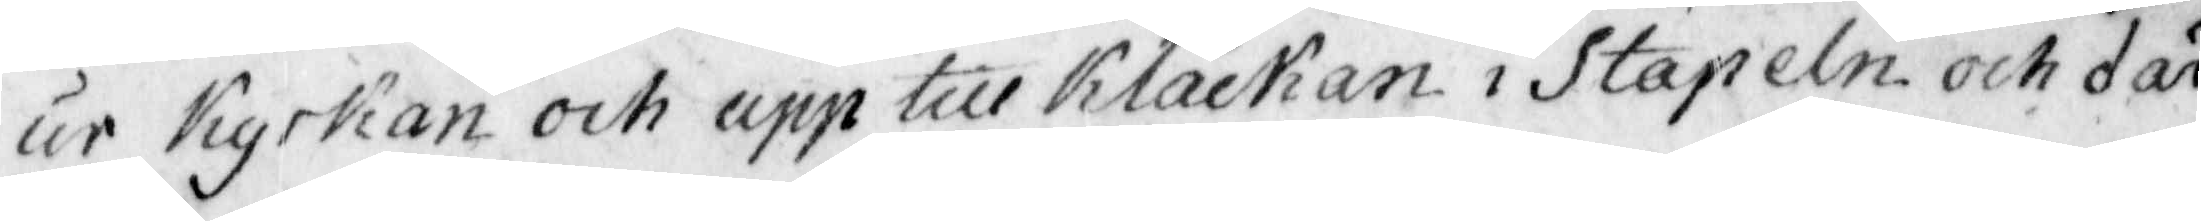ur Kyrkan och upp till Klåckan i Stapeln och där
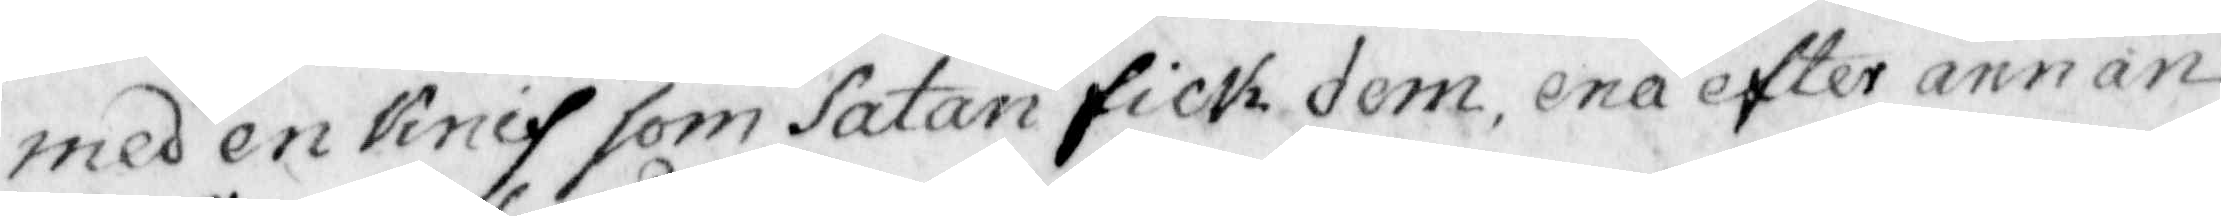med en Knif som Satan fick dem, ena efter annan
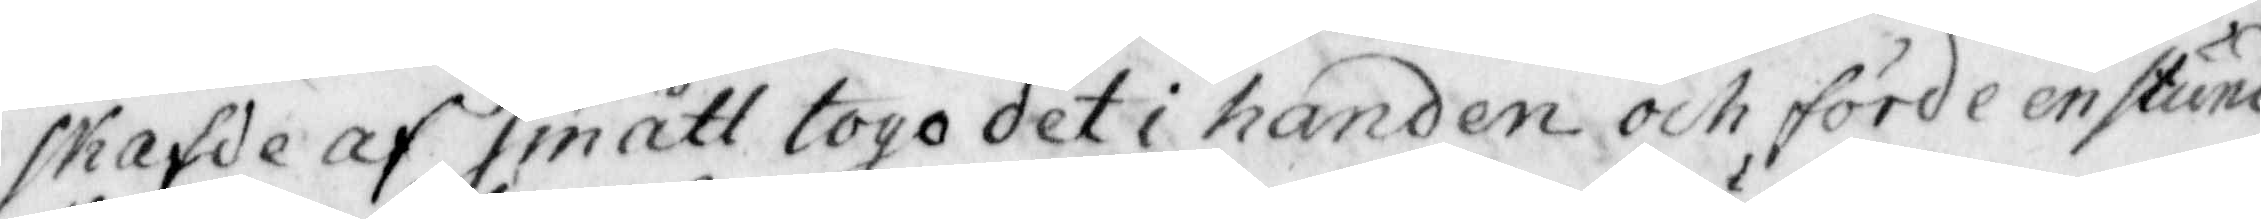skafde af smått togo det i handen och förde en stind
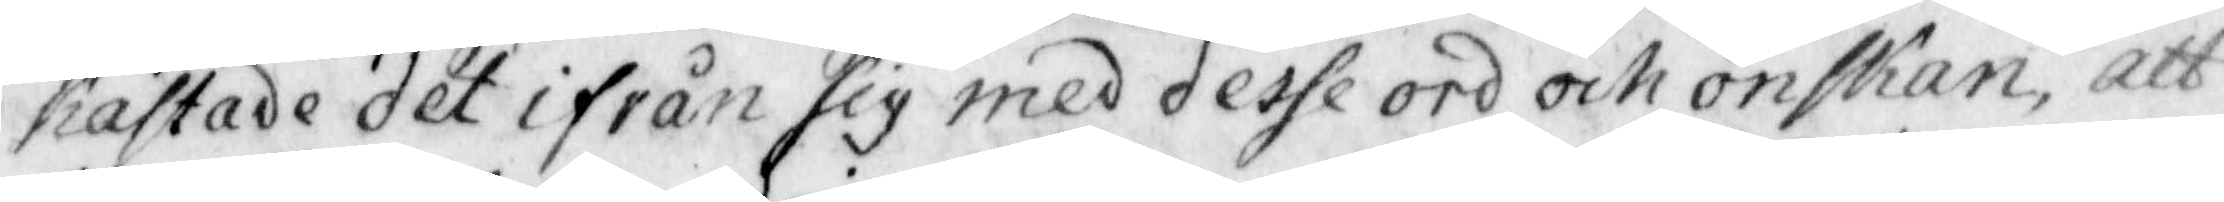Kastade det ifrån sig med desse ord och önskan, att
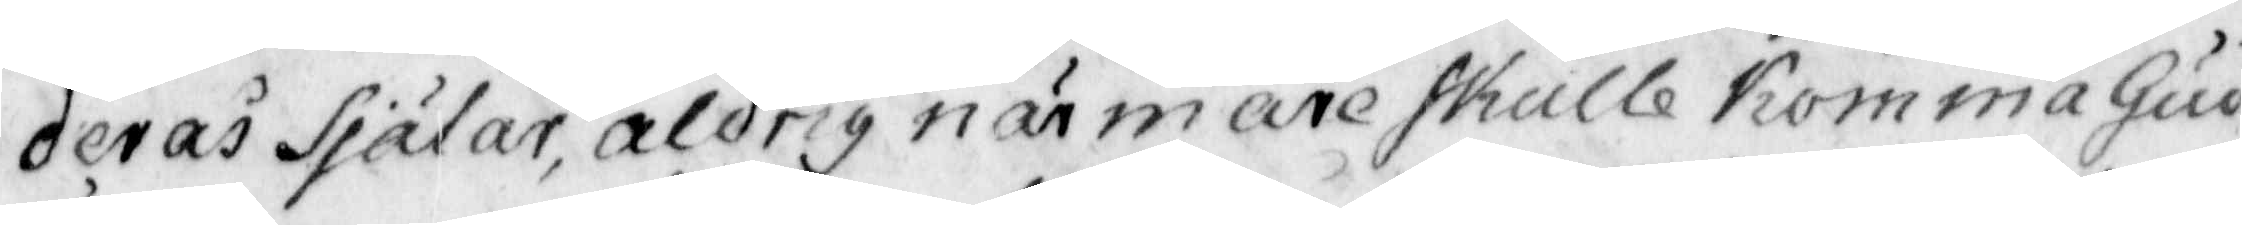deras Själar, aldrig närmare skulle komma Gud
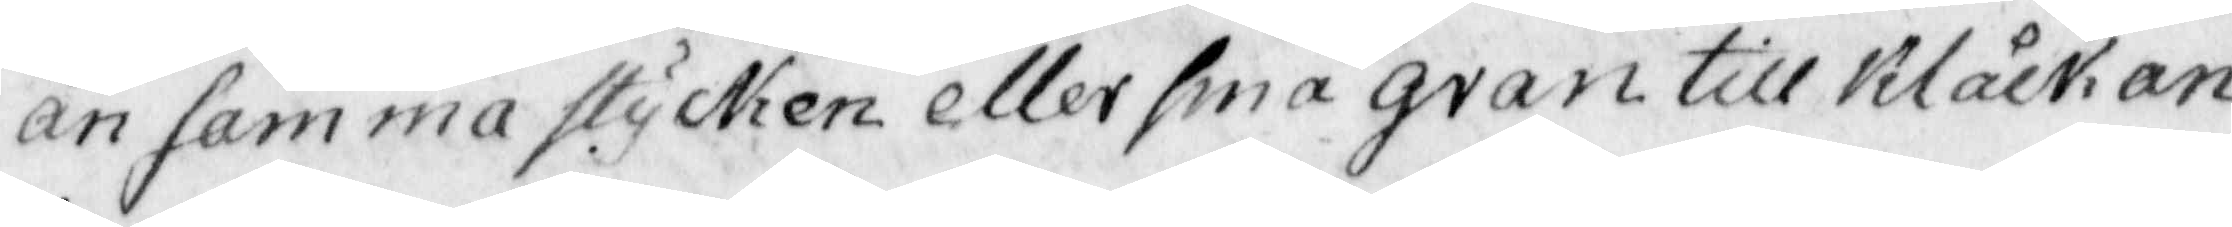än samma stycken eller små gran till klåckan
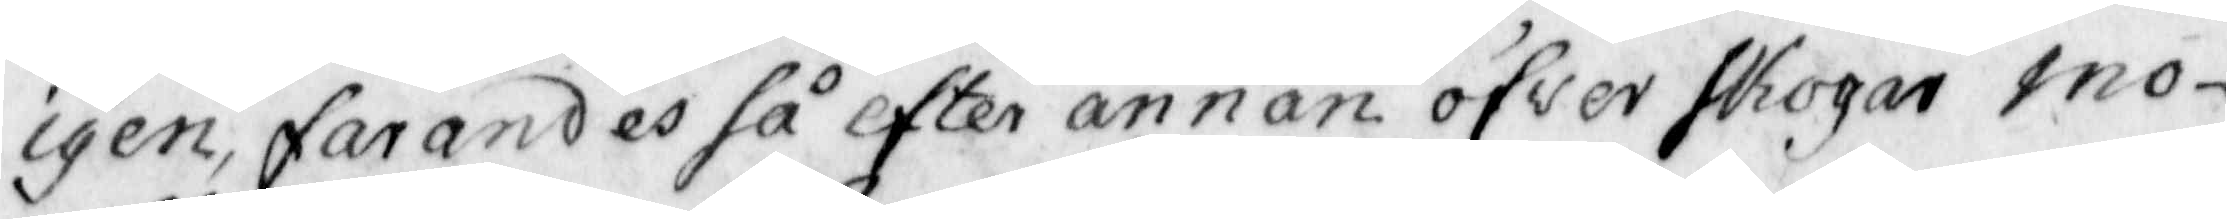igen, farandes så efter annan öfver skogen mo¬
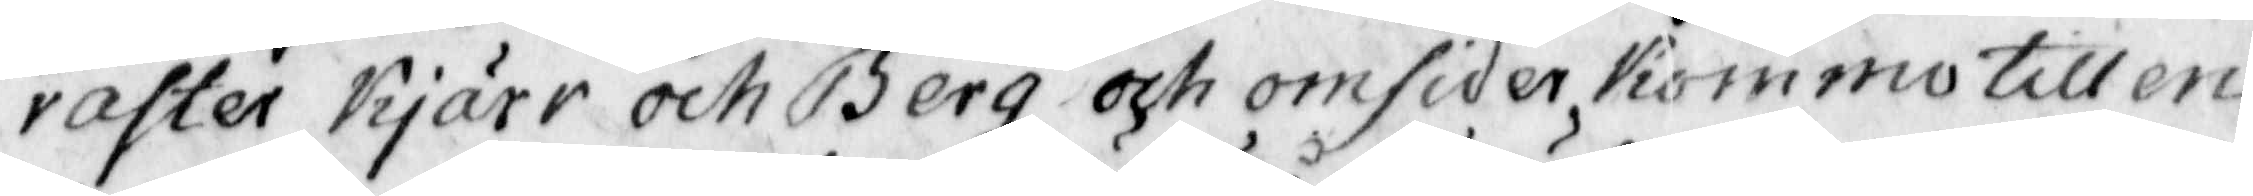raster kjärr och berg och omsider Kommo till en
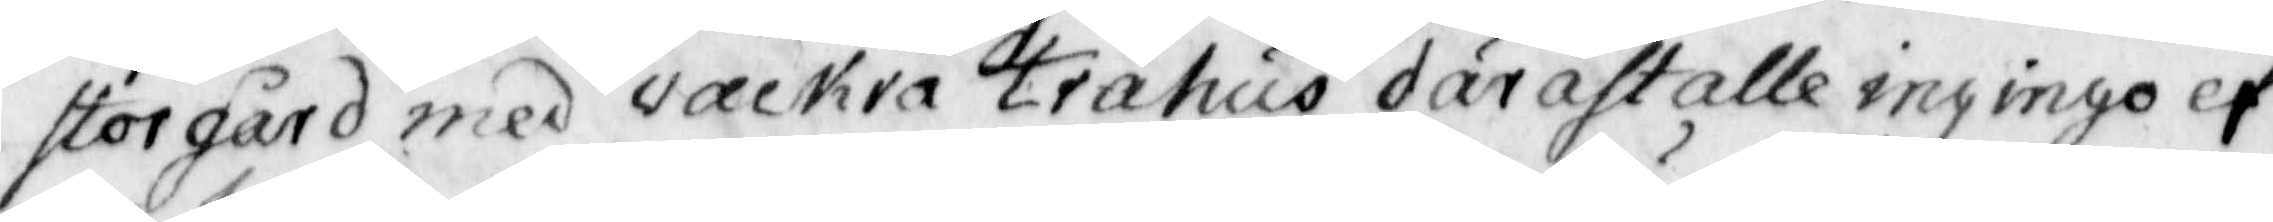stor gård med vackra trähus däräst alle ingingo ef¬
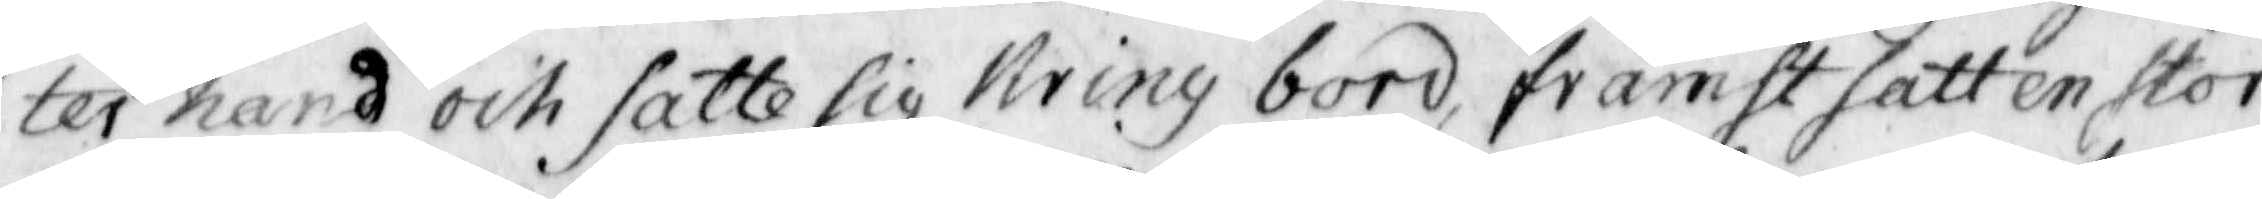ter hand och satte sig Kring bord, främst satt en stor
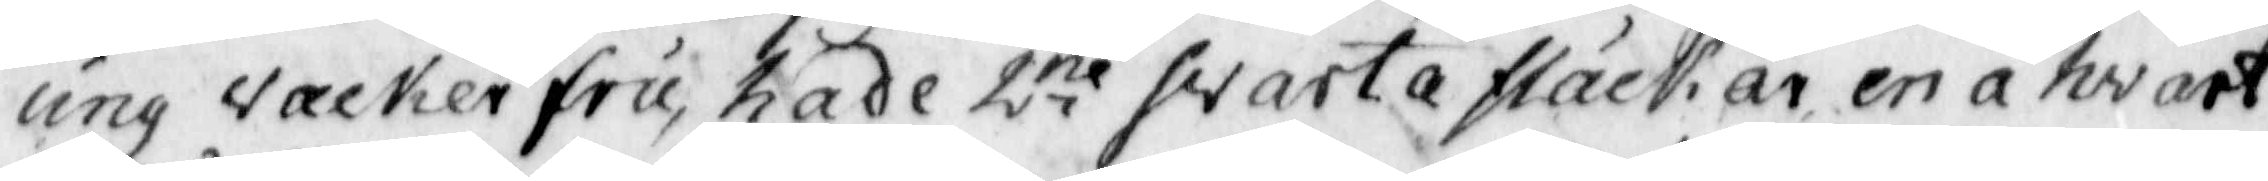ung vacker fru, hade 2ne swarta fläckar en a hvart
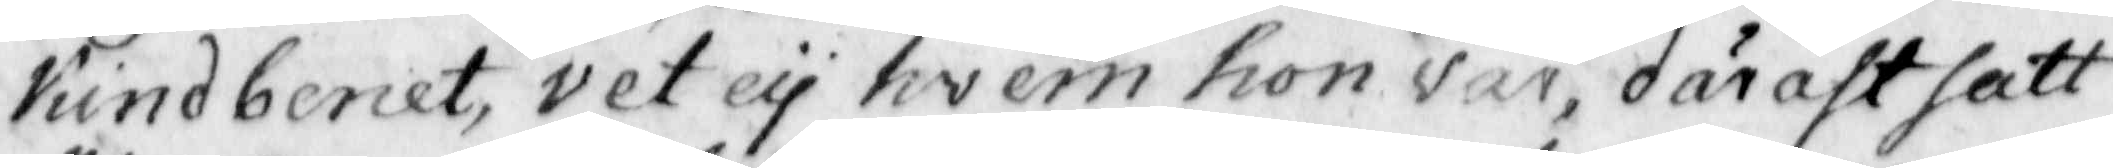Kindbenet, vet ey hwem hon var, därast satt
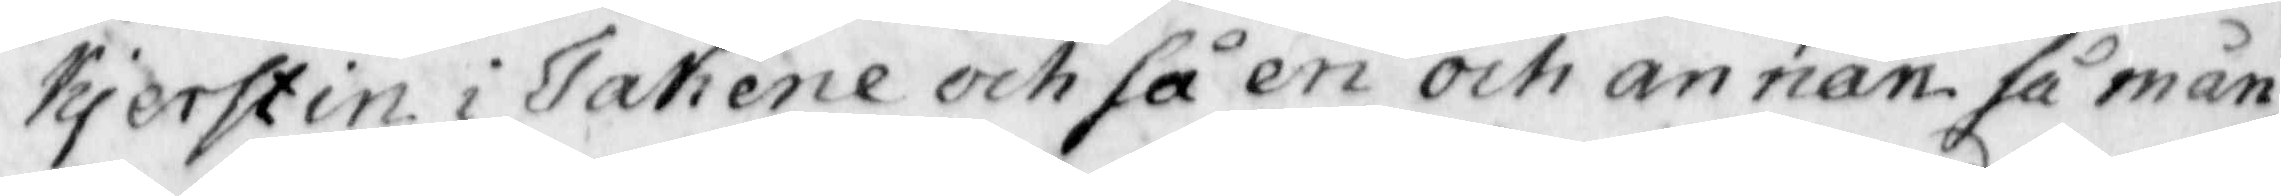Kjerstin i Takene och så en och annan så mån¬
